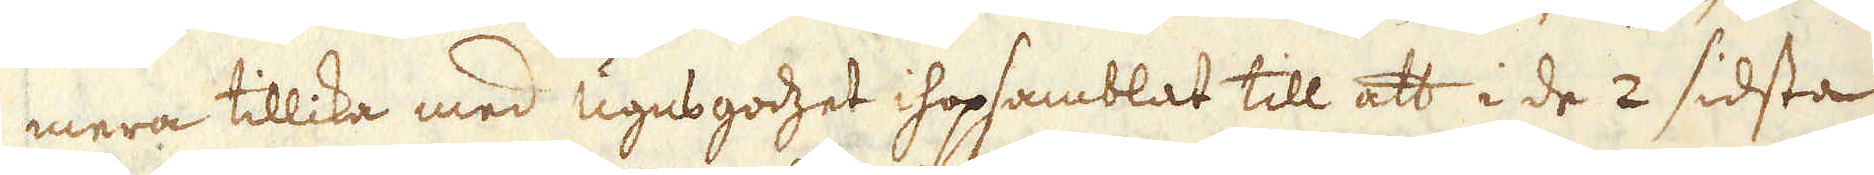mera tillika med ugnsgodzet ihopsamblat till att i de 2 sidsta
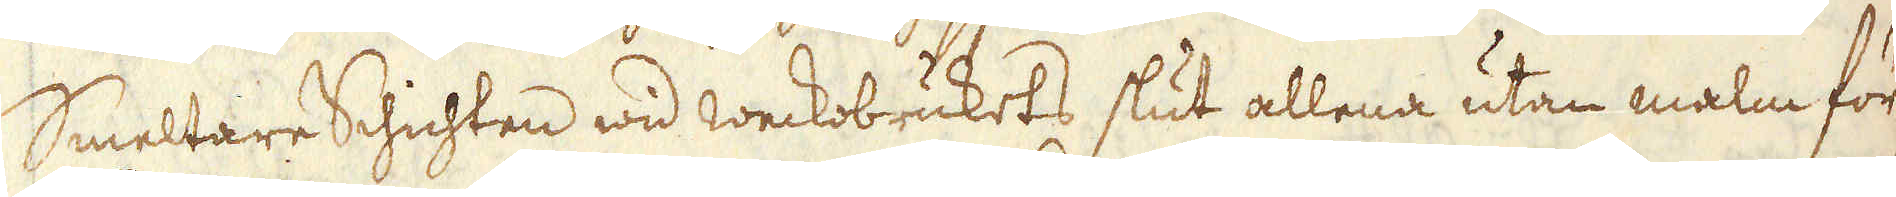Smeltare Schichten wid weckobrukets slut allena utan malm för
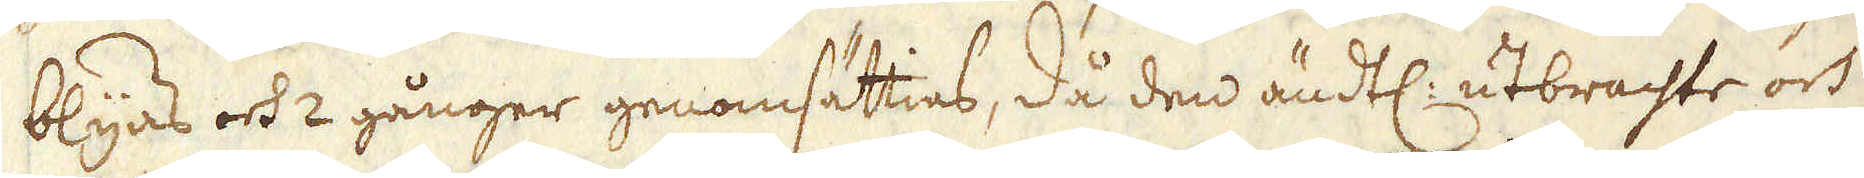blyas och 2 gånger genomsättias, då den ändtl: utbrachte och
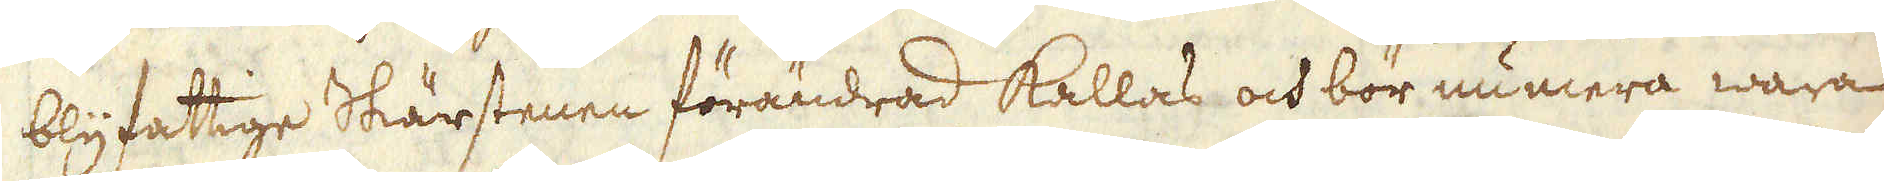blyfattige Skärstenen förändrad kallas och bör numera wara
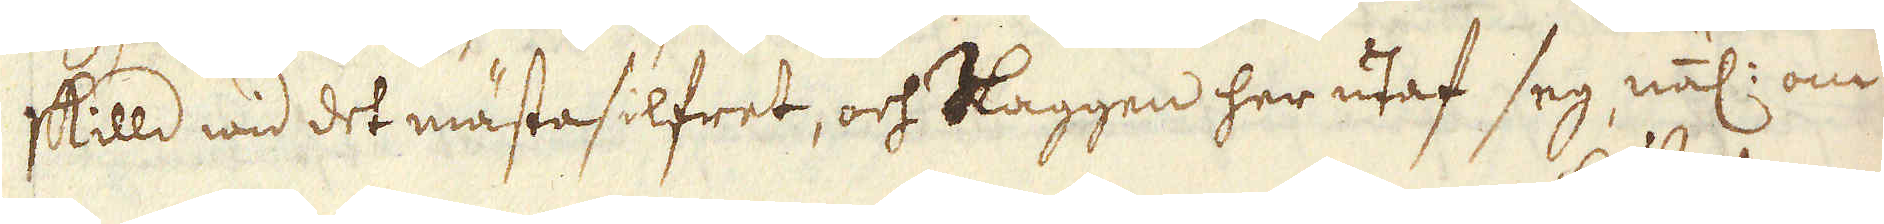skilld wid det mästa silfret, och Slaggen her utaf seg, wäl: om
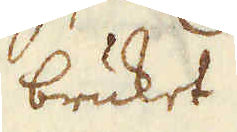bruket.
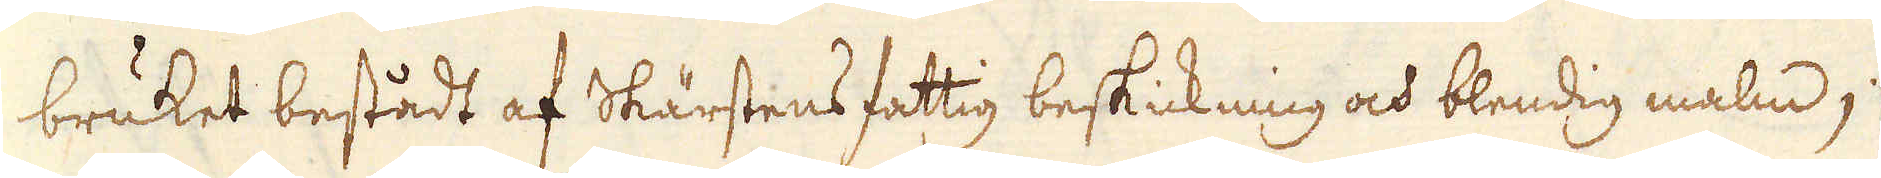bruket bestådt af Skärstens fattig beskickning och blendig malm;
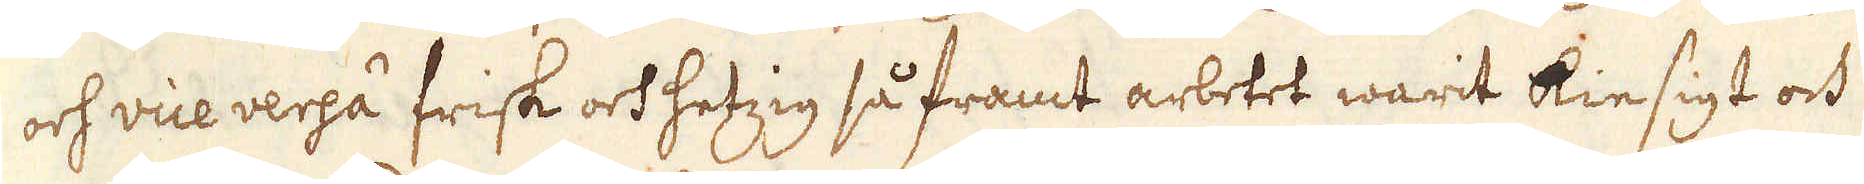och vice versa frisk och hetzig så framt arbetet warit kiesigt och
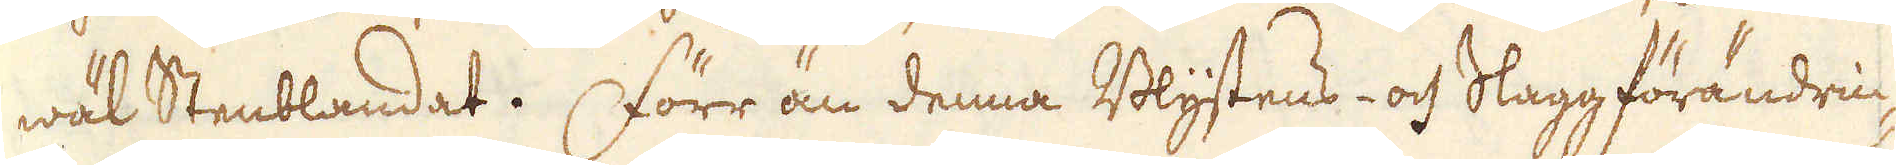wäl Stenblandat. Förr än denna Blystens- och Slaggförändrin-
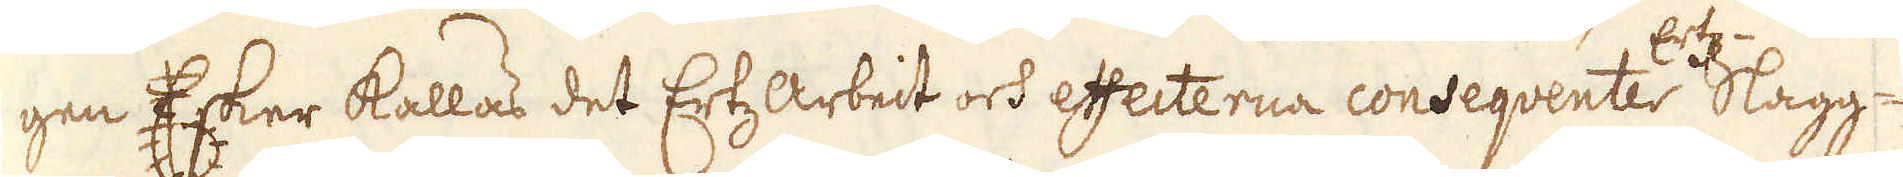gen Esker kallas det Ertzarbeit och effecterna conseqventer Ertz-Slagg-
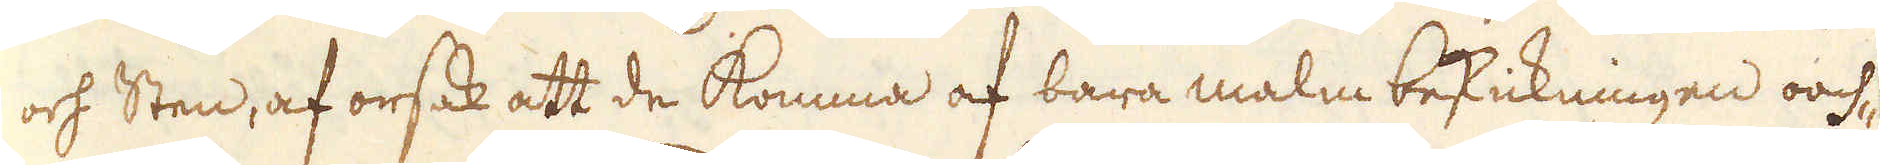och Sten, af orsak att de komma af bara malm beskickningen oach-
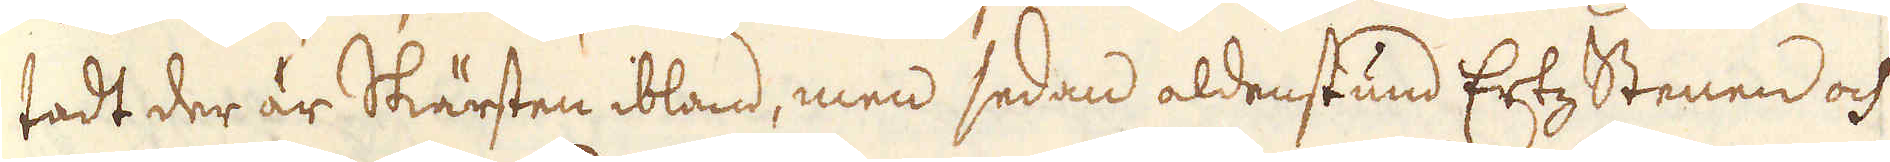tadt der är Skärsten ibland, men sedan aldenstund ErtzStenen och
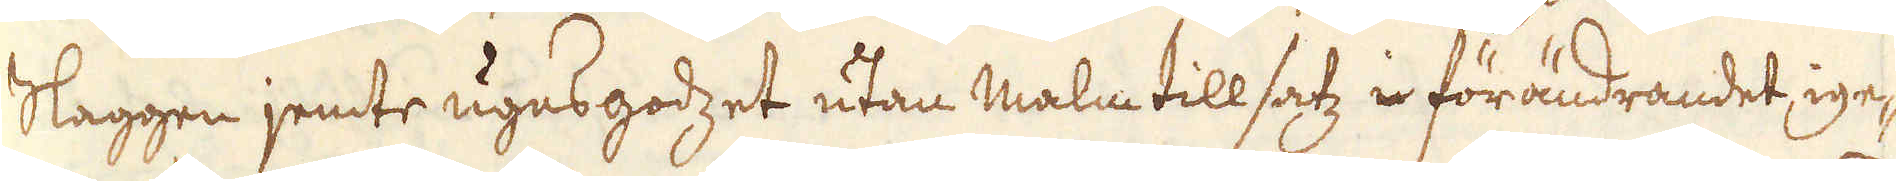Slaggen jemte ugnsgodzet utan malm till satz i förändrandet ige-
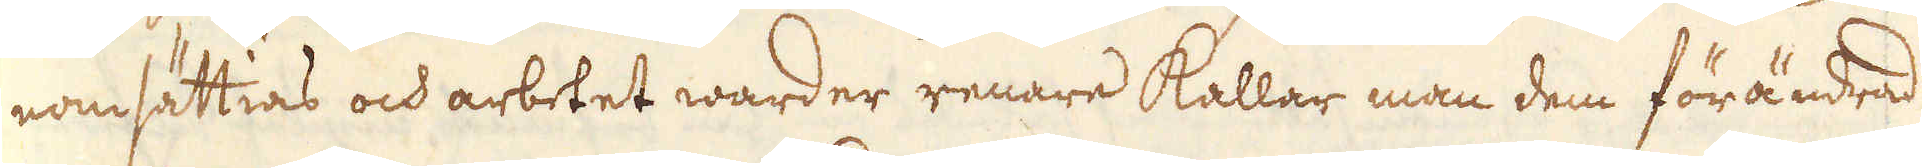nomsättias och arbetet warder renare kallar man dem förändrad
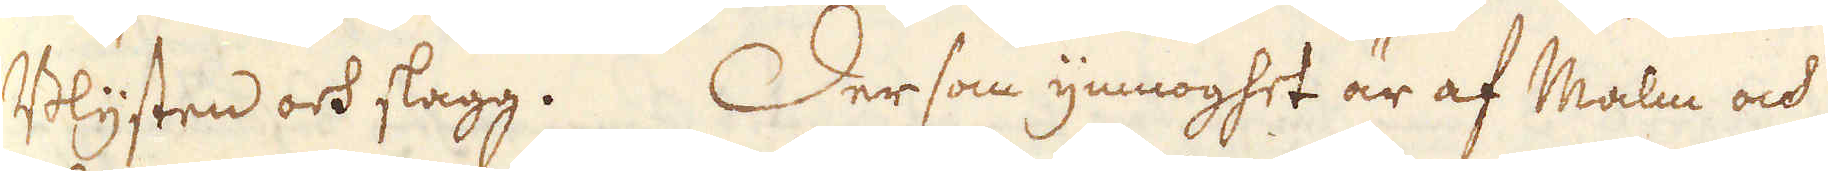Blysten och slagg. Dersom ymnoghet är af Malm och
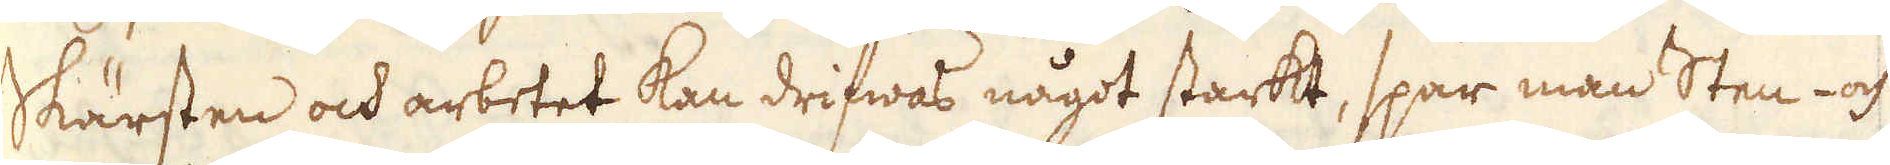skärsten och arbetet kan drifwas något starkt, spar man Sten- och
